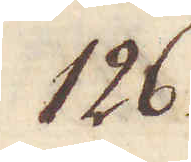126.
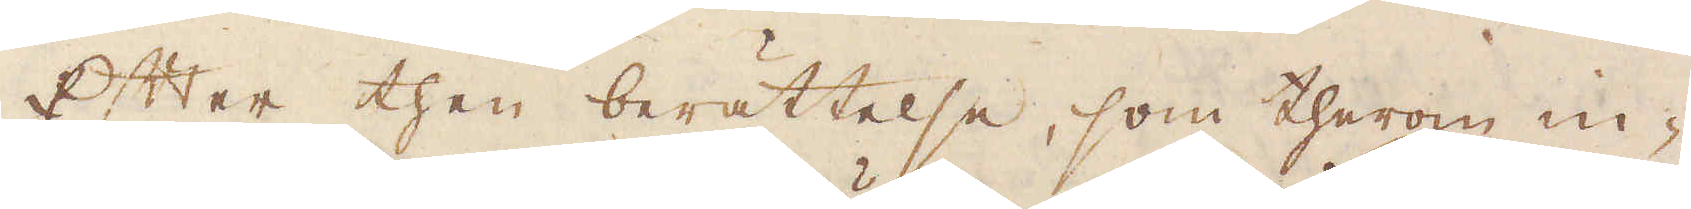Efter then berättelse, som therom in-
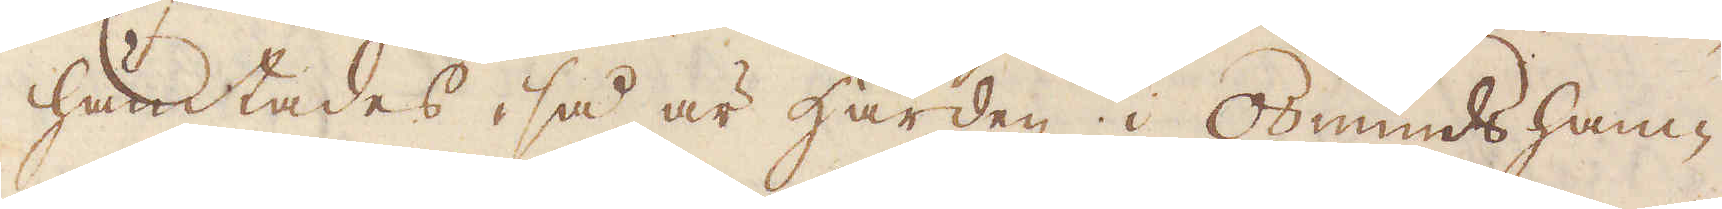hämtades, så är Härden i Osmundsham-
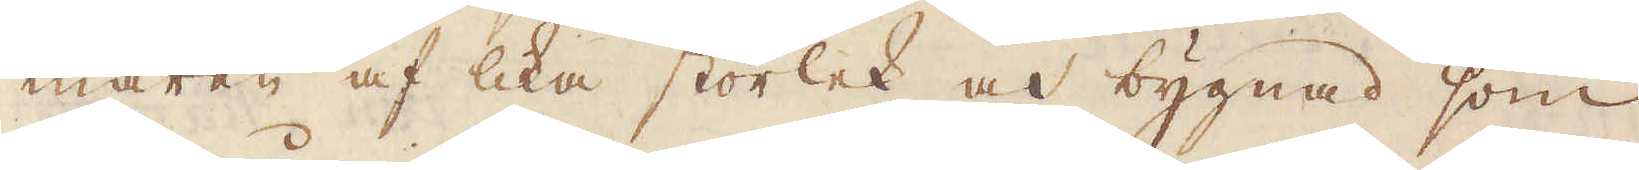maren af lika storlek och bygnad som
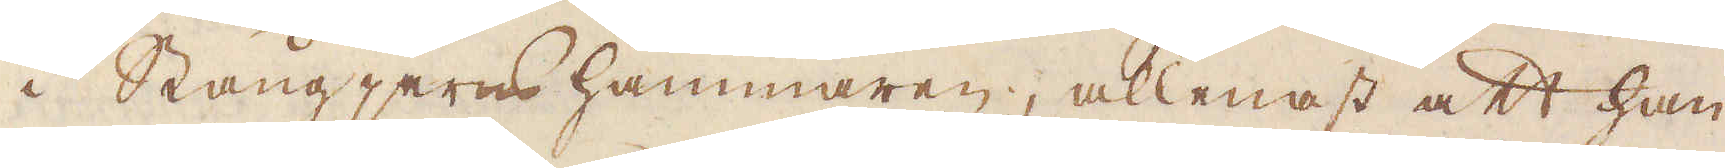i Stångjernd hammaren, allenast att han
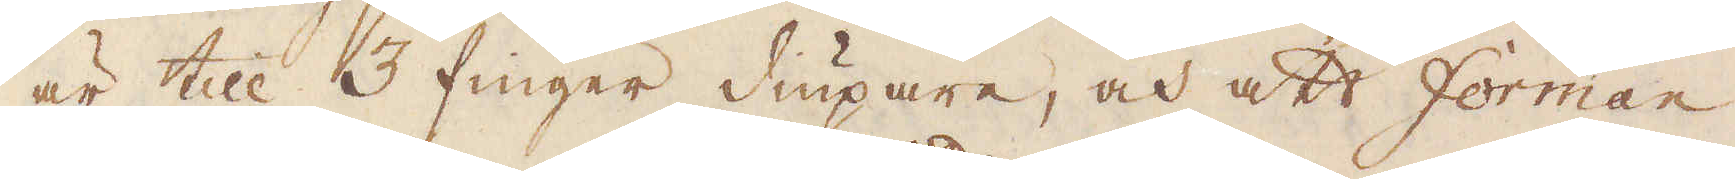är till 3 finger diupare, och att Forman
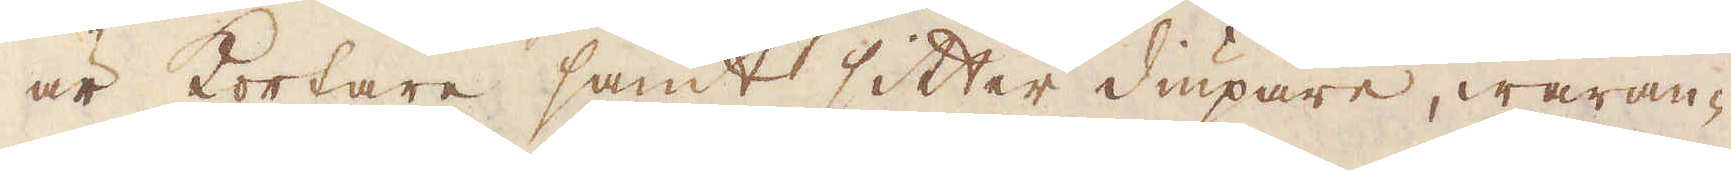är Kortare samt sitter diupare, waran-
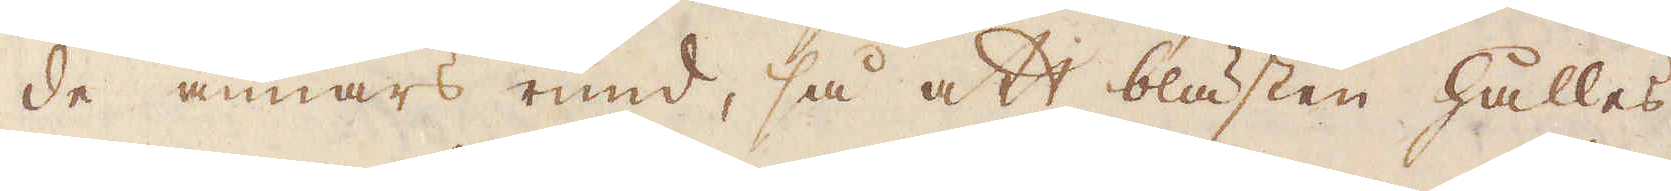de annars rund, så att blästen hålles
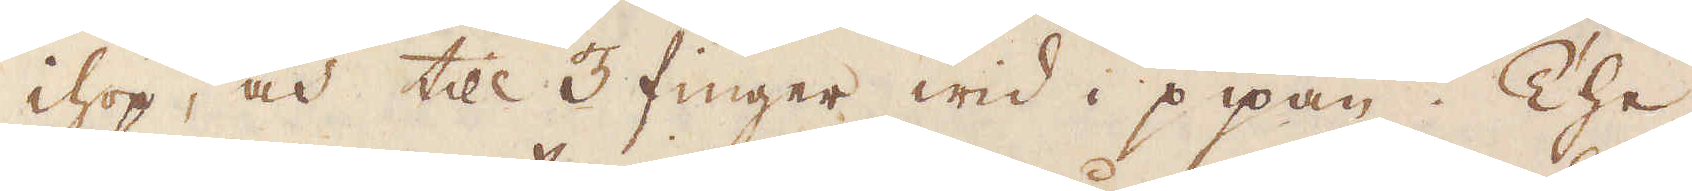ihop, och till 3 finger wid i pipan. The
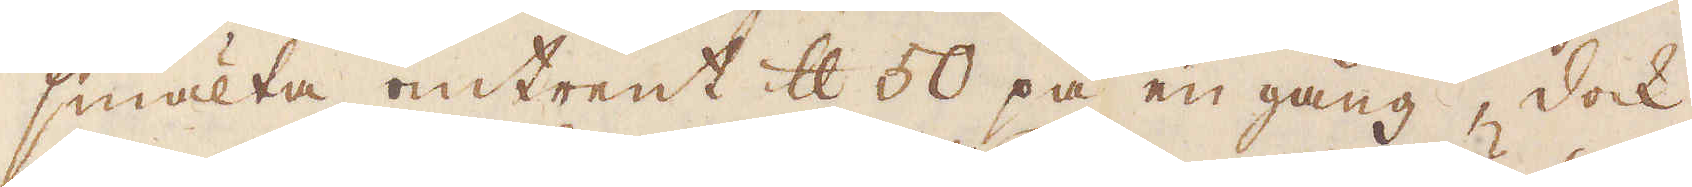smälta omtrent skålpund 50 på en gång, dock
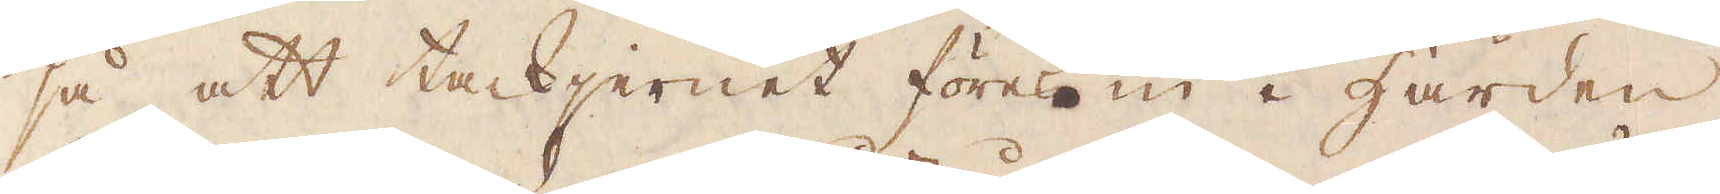så att tackjernet föres in i Härden
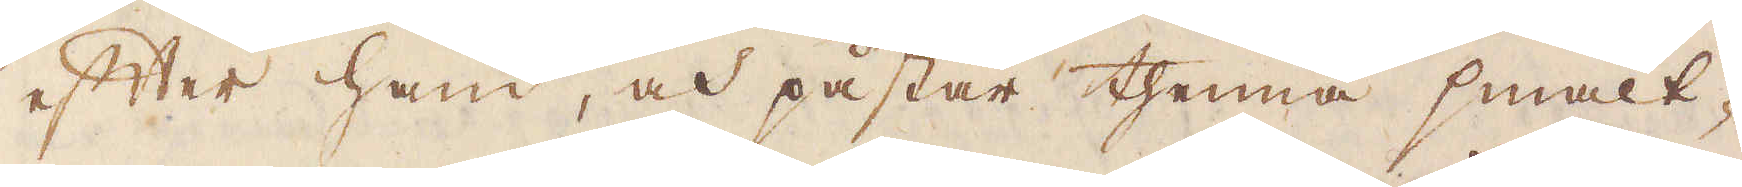efter hand, och påstår thenna smält-
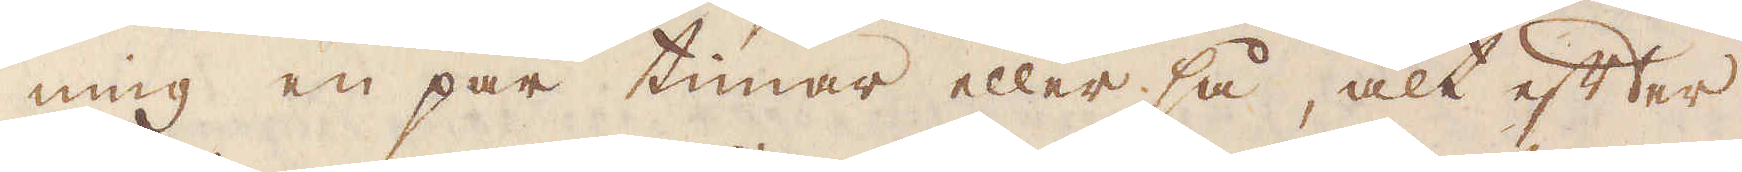ning en par timar eller så, alt efter
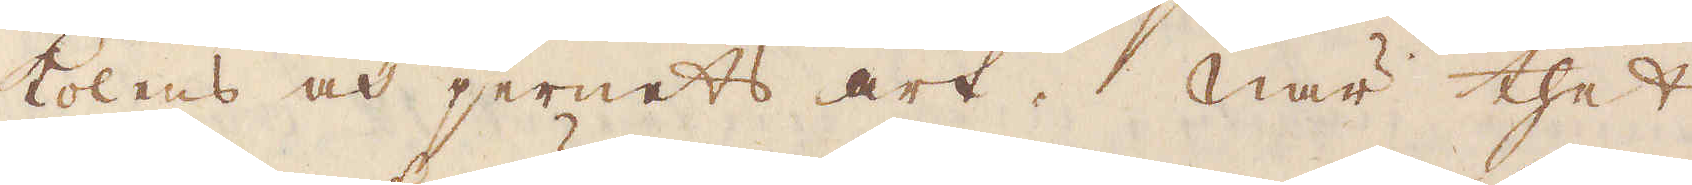kolens och jernets art. När thet
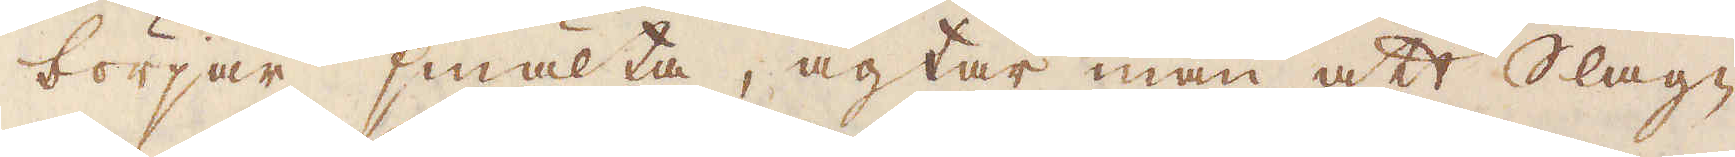börjar smälta, agtar man att Slag-
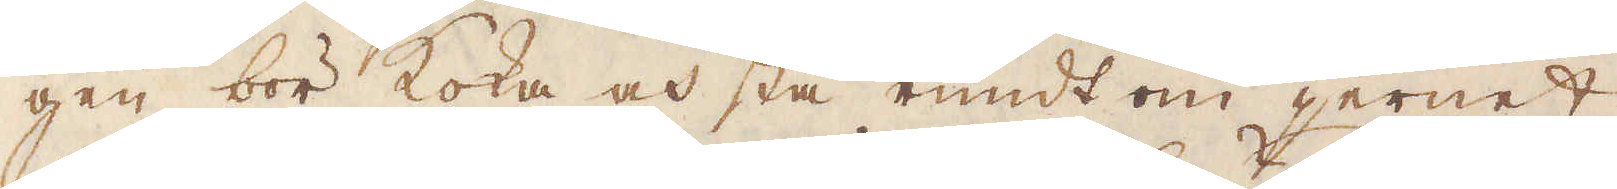gen bör koka och stå rundt om jernet,
